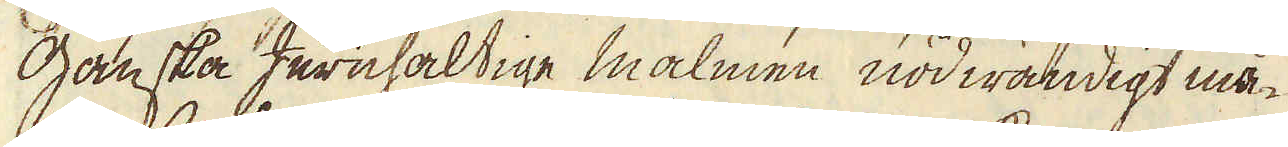ganska Jernhaltige malmen nödwändigt må-
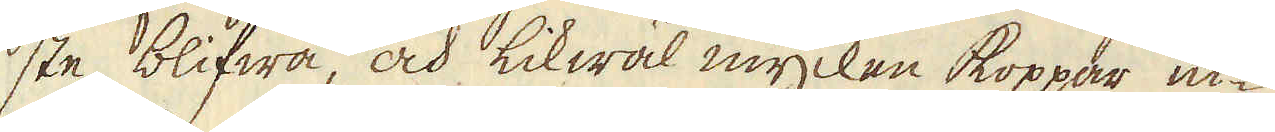ste blifwa, och likwäl mycken koppar in-
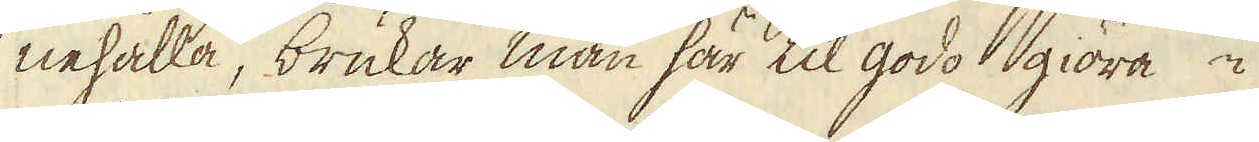nehålla, brukar man här til godo giöra i
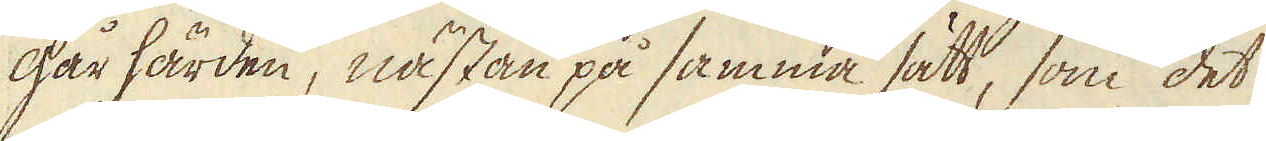går härden, nästan på samma sätt, som det
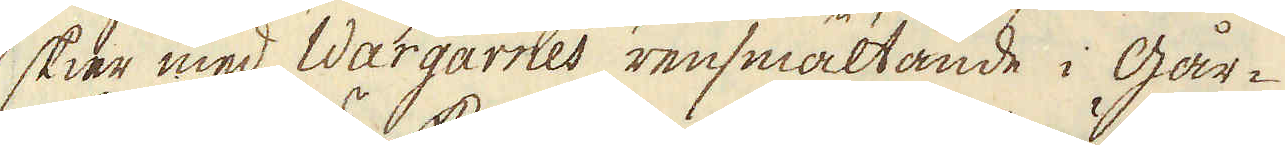skier med Wargarnes rensmältande i Går-
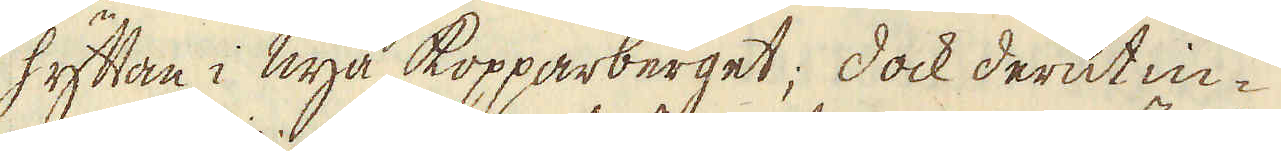hyttan i Nya Kopparberget; dock derutin-
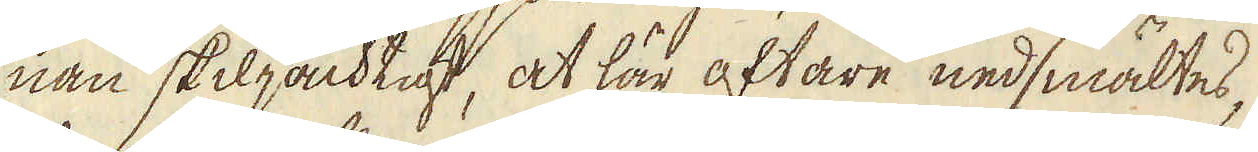nan skiljachtigt, at här oftare nedsmältes,
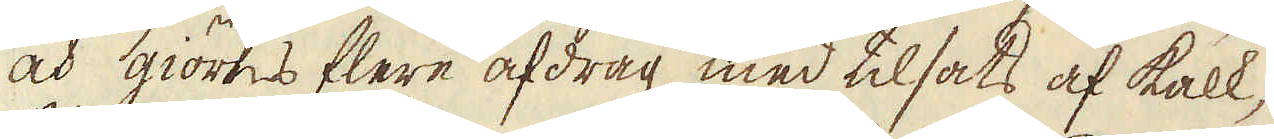och giöres flere afdrag med tilsats af kalk,
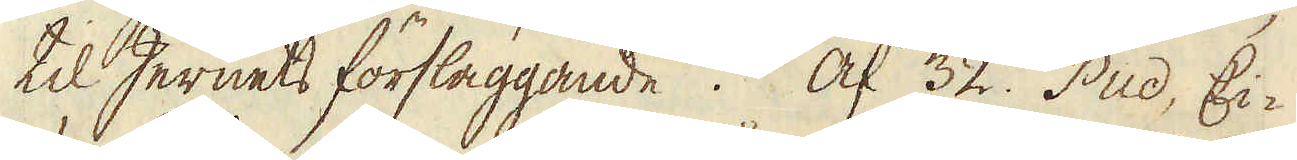til Jernets förslaggande. Af 32. Pud Ei-
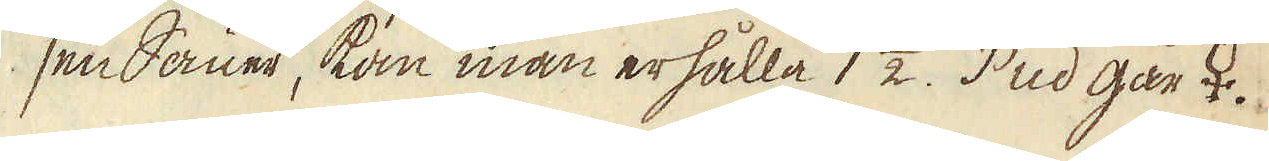sen Sauer, kan man erhålla 1 1/2. Pud går ♀.
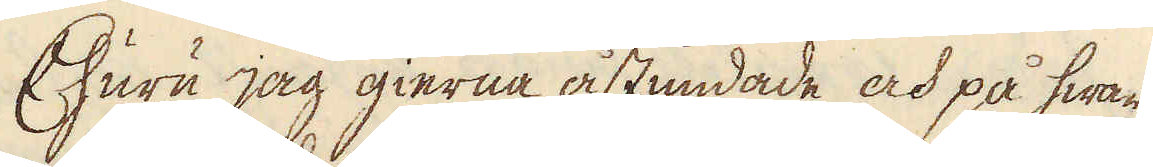Ehuru jag gierna åstundade och på hwar-
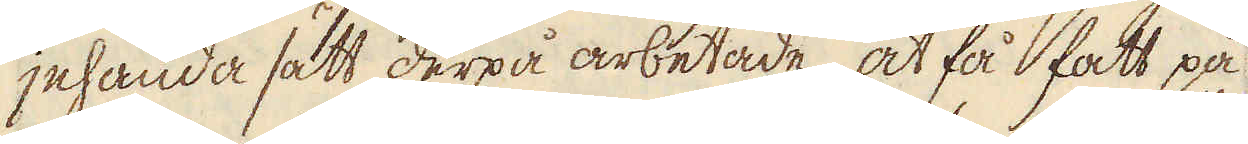jehanda sätt derpå arbetade, at få fatt på
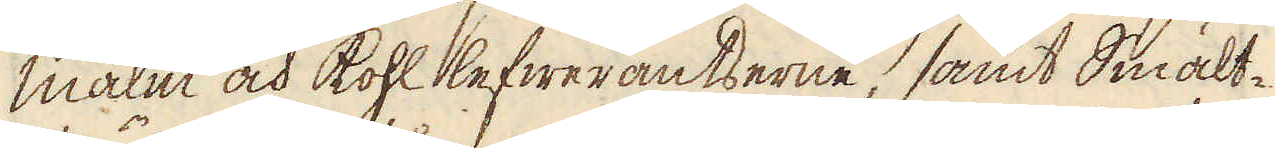malm och kohl lefwerantserne, samt Smält-
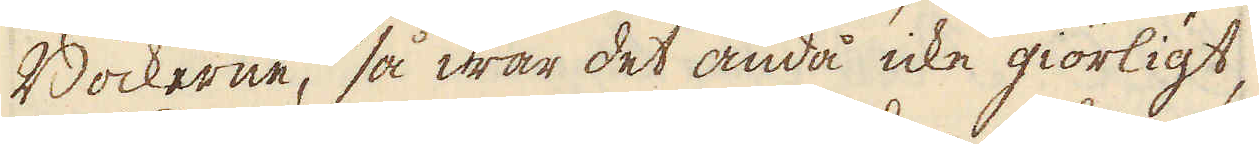Böckerne, så war det ändå icke giörligt,
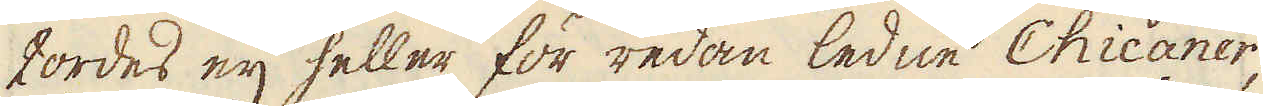tordes eij heller för redan ledne Chicaner,
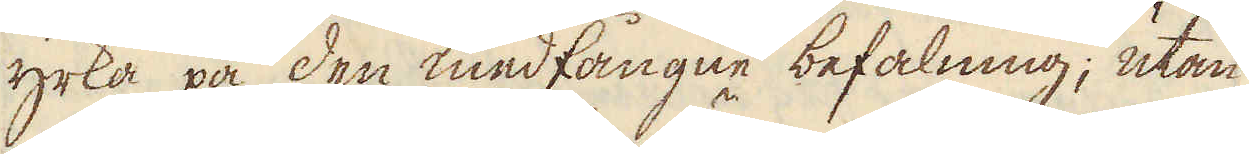yrka på den medfångne befalning; utan
